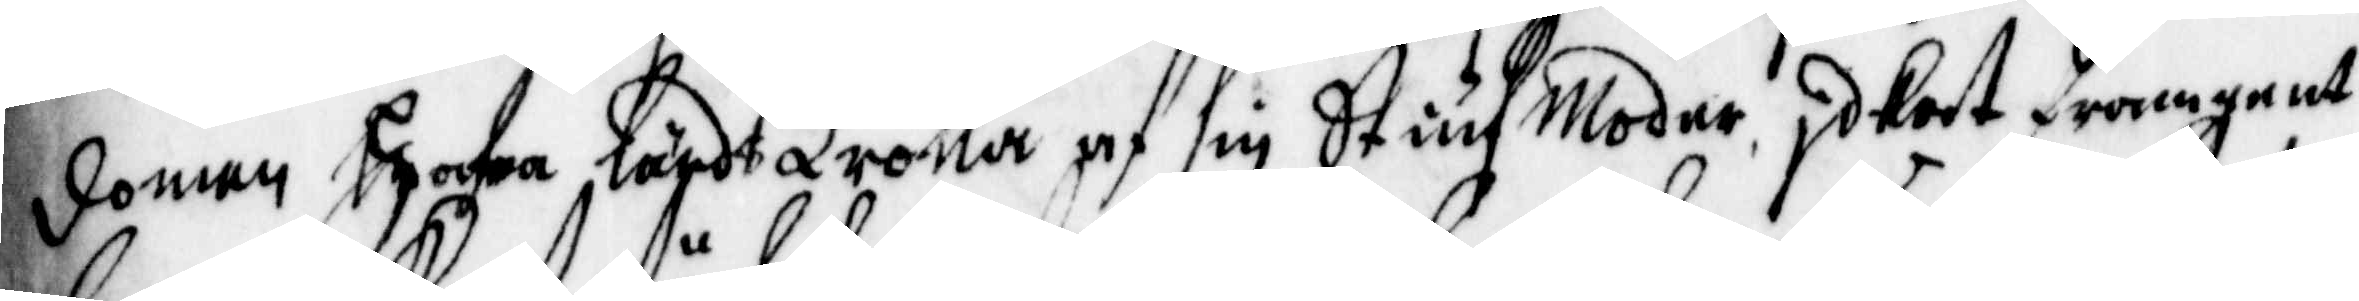domen hafwa lärdt Trolla af sin StiufModer idkat framgent
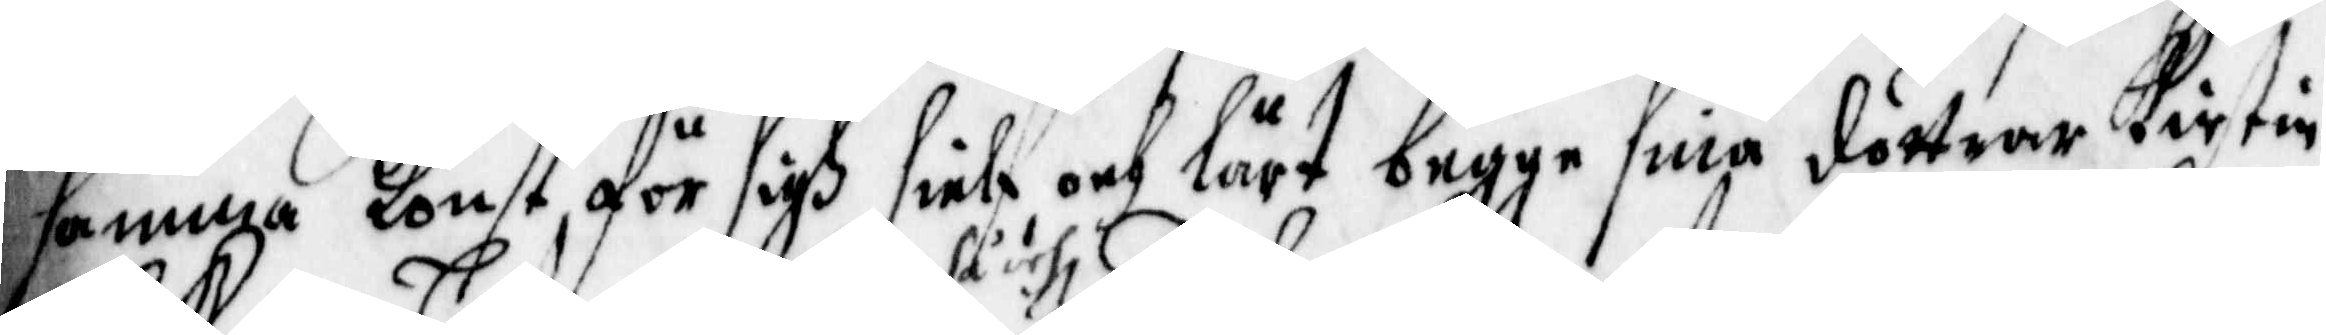samma Konst, för sigh sielf och lärt begge sina döttrar Kirstin
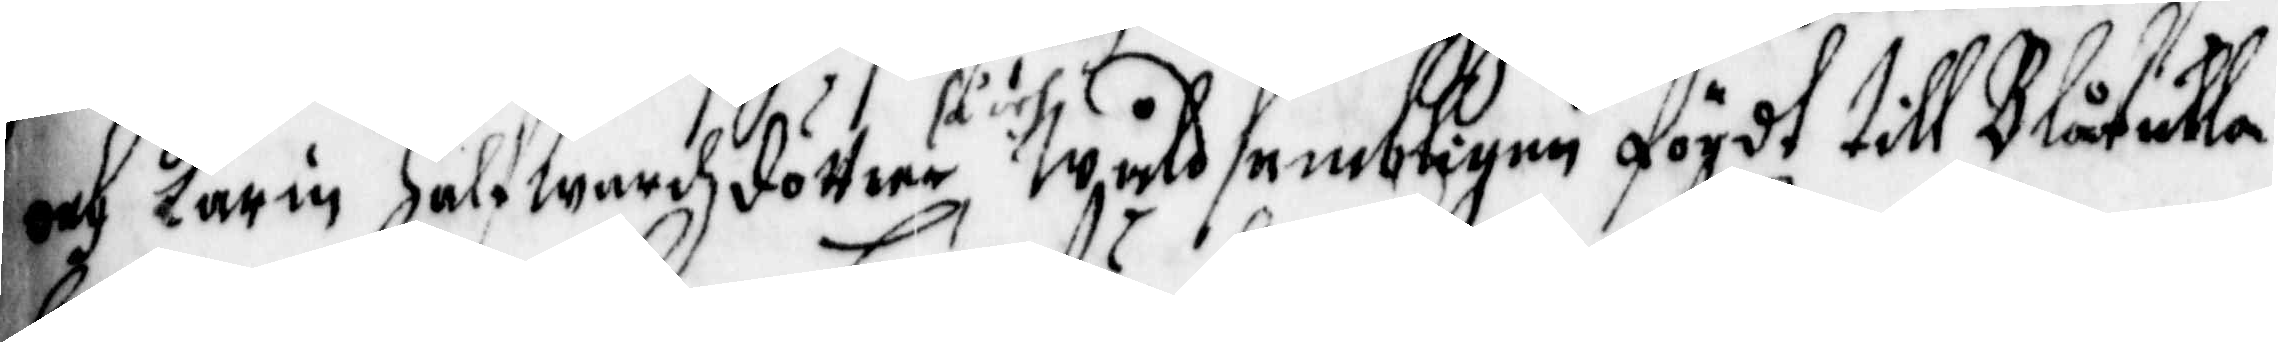och karin Halfwardzdöttrar, så ähr wåldsambligen fördt till Blåkulla
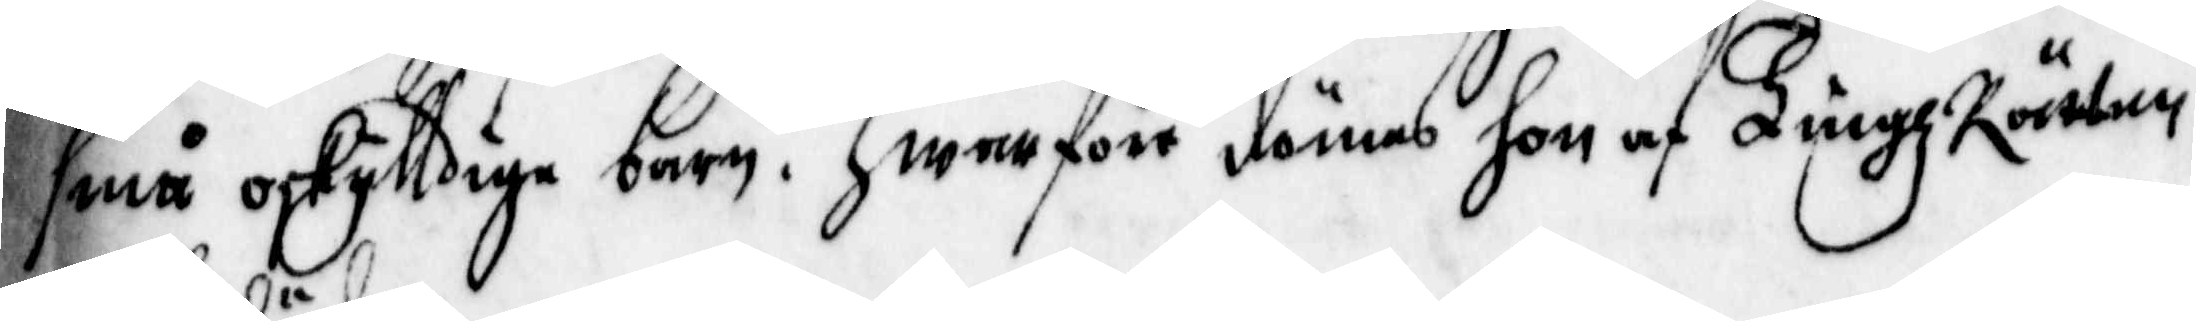små oskylldige barn. Hwarföre dömas hon af TingzRätten
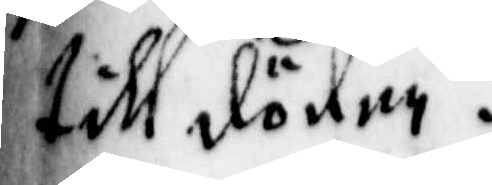till döden.
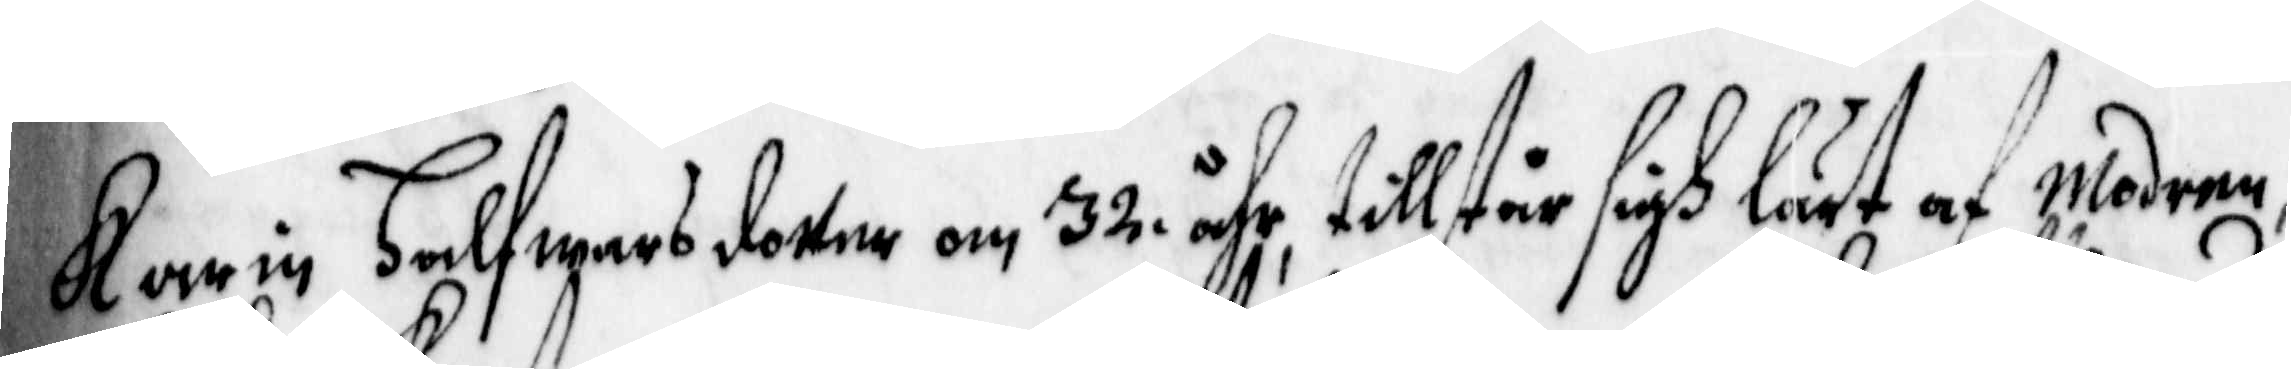Karin Halfwarsdotter om 32 åhr, tillstår sigh lärt af modern,
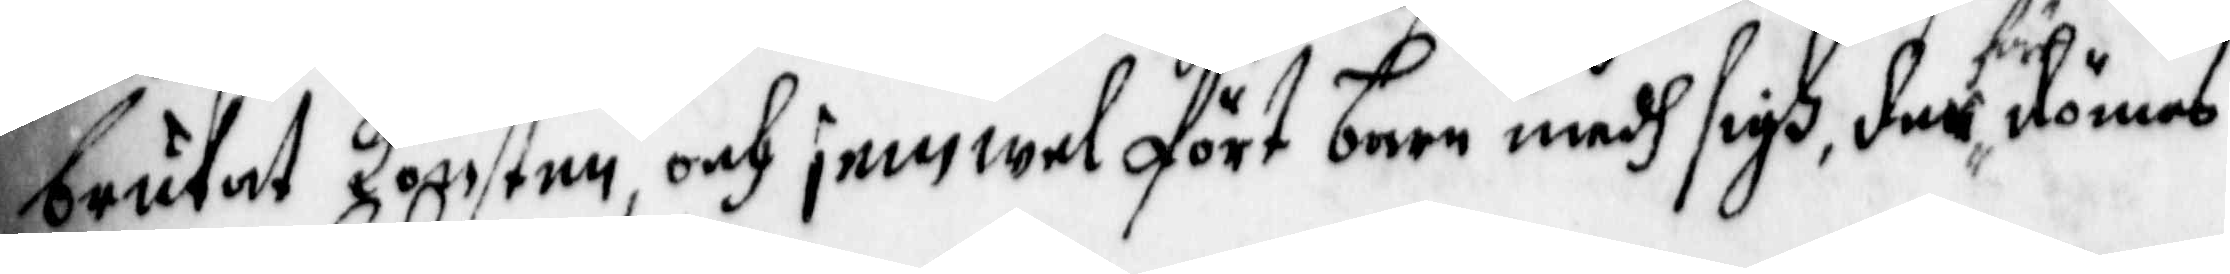brukat Konsten, och jemwel fört barn medh sigh, derföre dömas
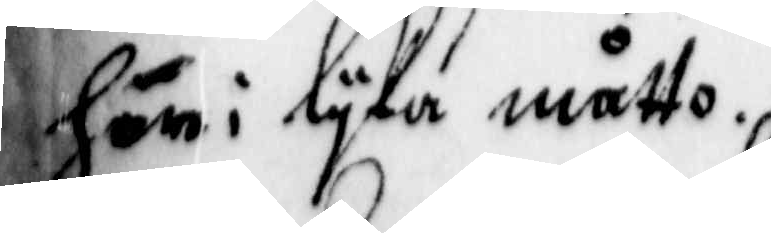hon i lyka måtto.
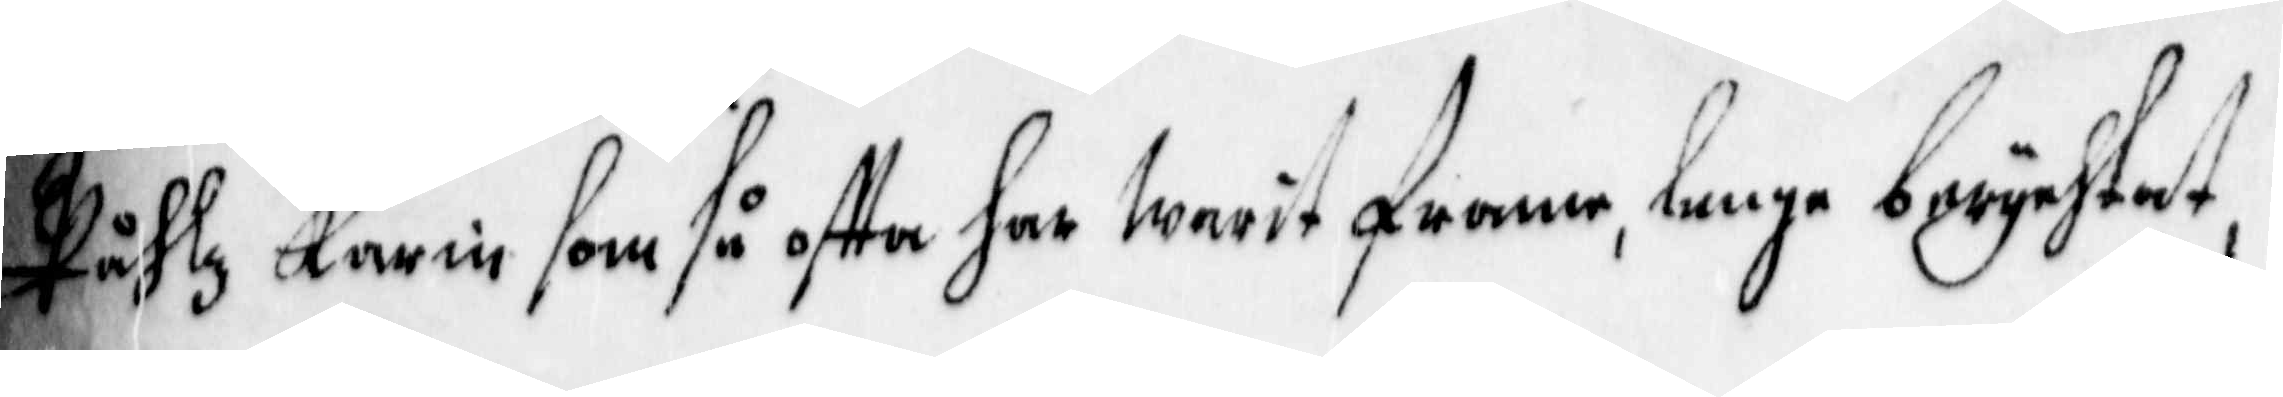Påhlz Karin som så offta har warit framme, lenge berychtat,
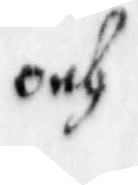och
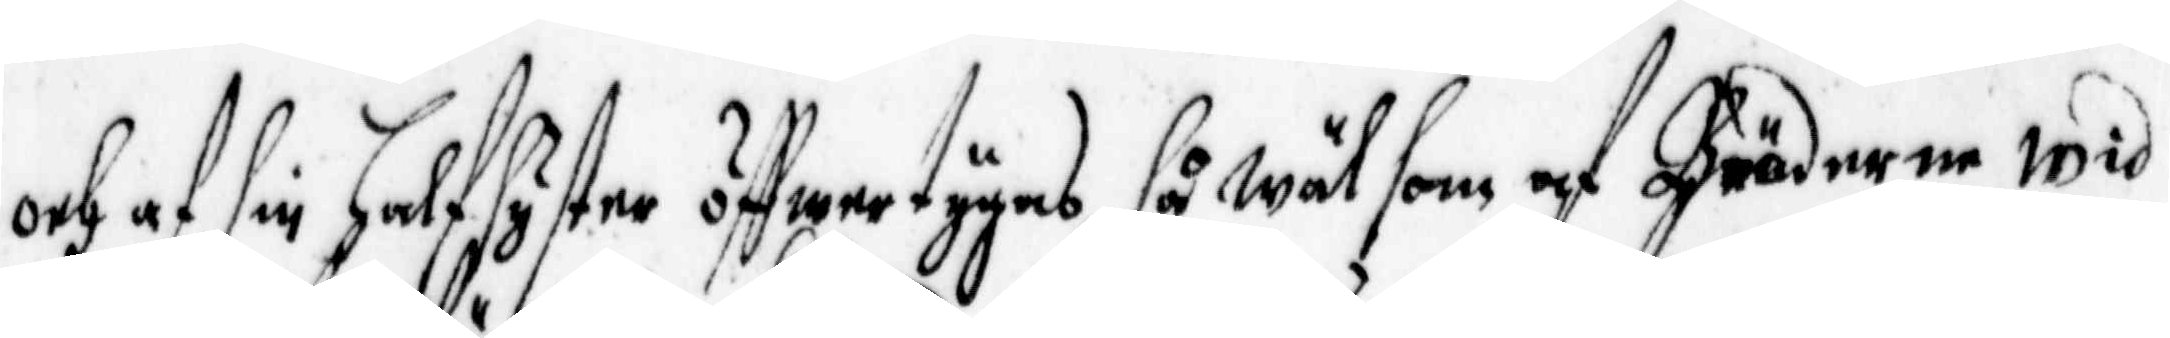och af sin Halfsyster öffwertygas så wäl som af Bröderne wid
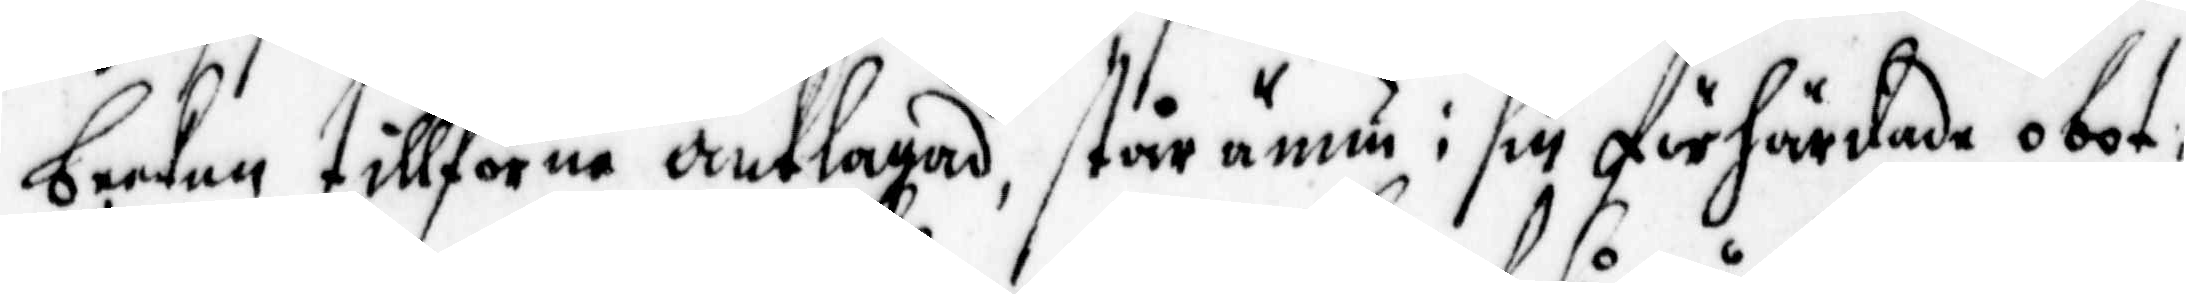becken tillförne anklagad, står ännu i sin förhärdade obot¬
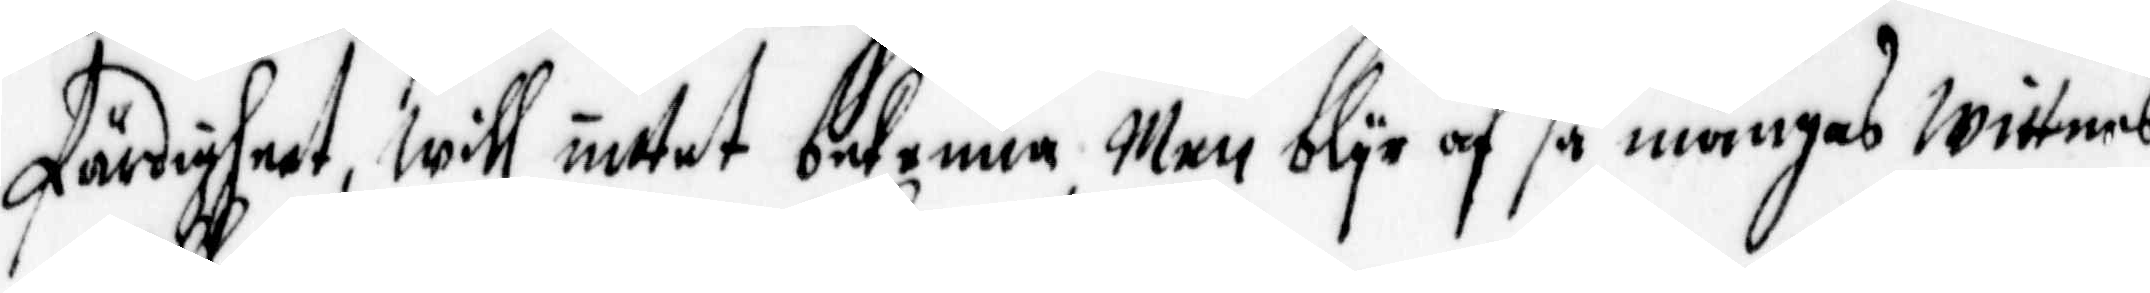färdigheet, will intet bekenna, Men blyr af så mångas wittnes¬
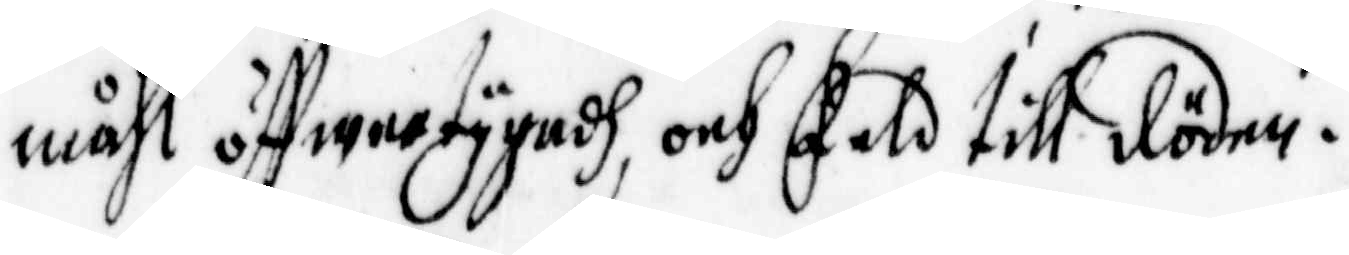måhl öffwertygadh, och Feld till döden.
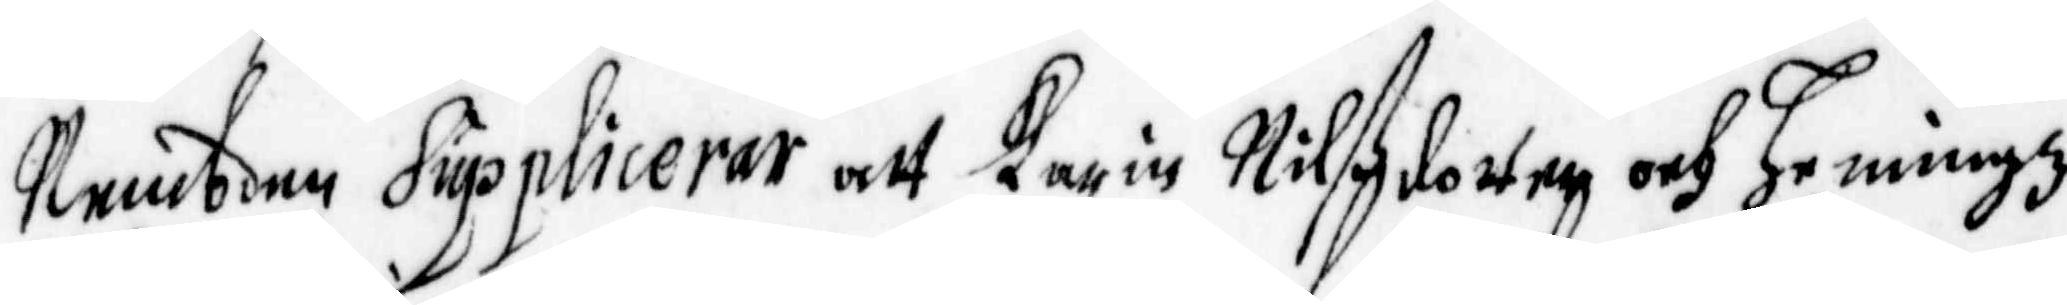Nembden Supplicerar att Karin Nilßdotter och Hemmingz
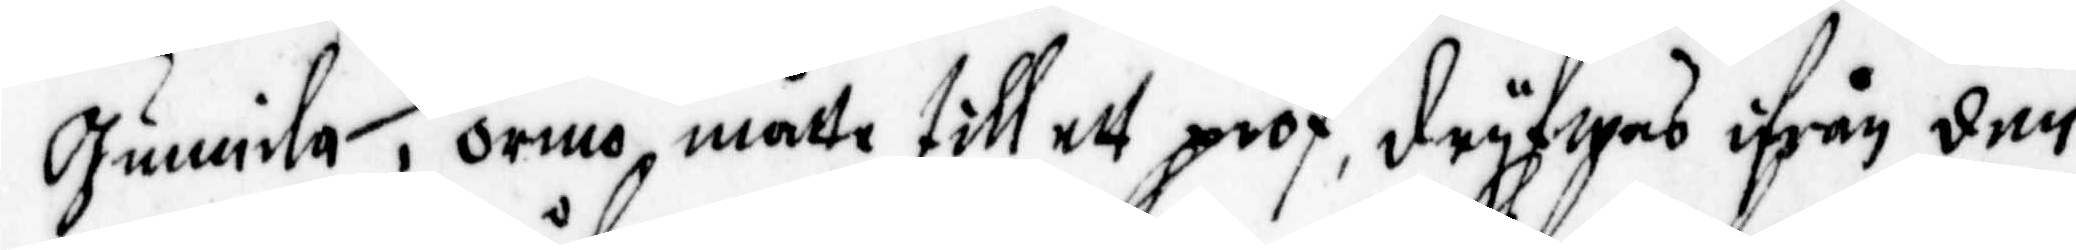Gunnila i Ormo, måtte till ett prof, dryfwas ifrån den
